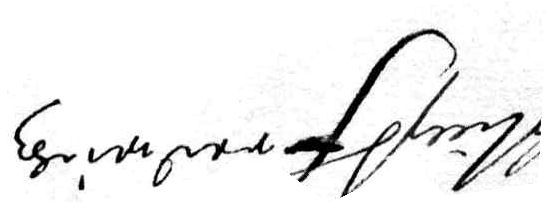Nillß Fredrich
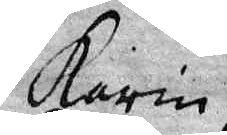Karin
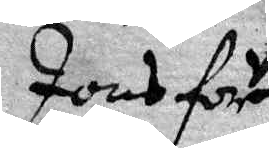Jons flr
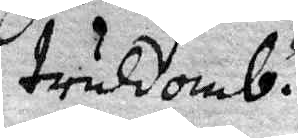truldomb.
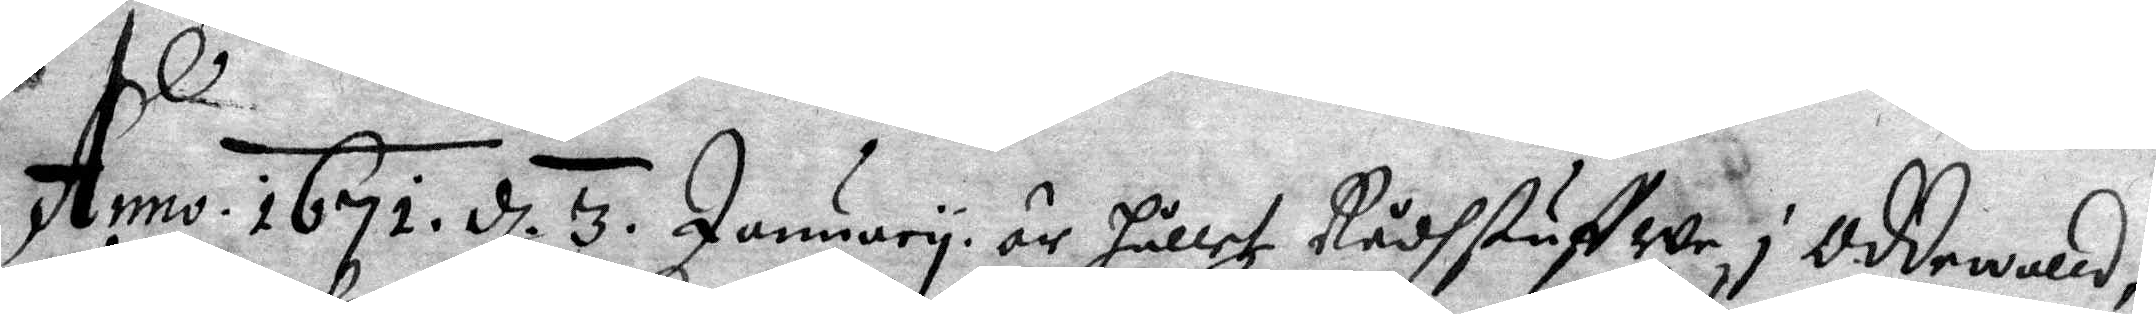Anno 1671. d. 3. January är hållet Rådstuffwe i Oddewald,
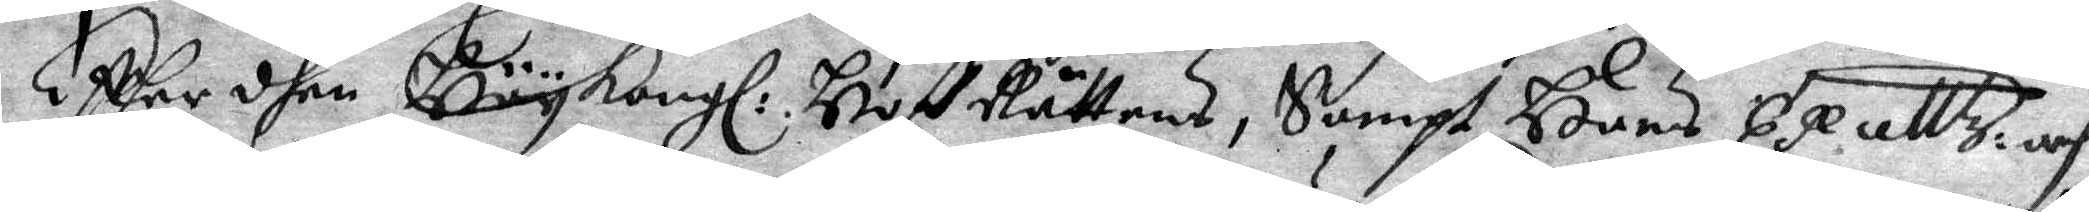Efther dhen Höykongl: HofRättens, Sampt Hans Exelltz: och
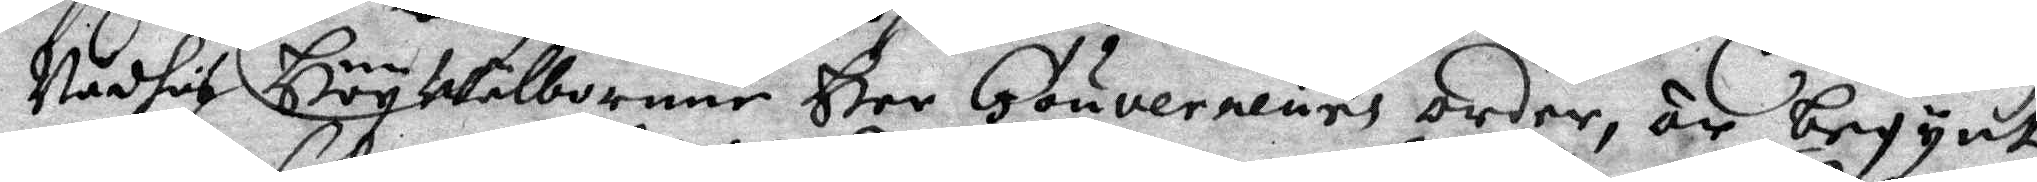Nådhes HöyWälborne Her Gouverneurs order, är begynt
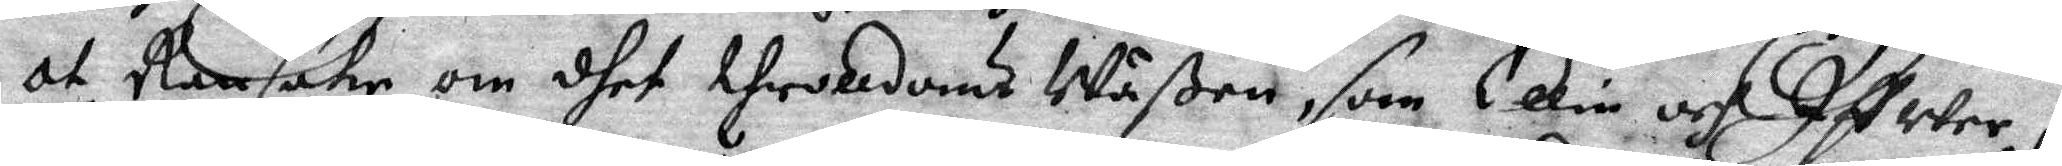at Ransaka om dhet throlldoms Wäßen, som Ellin och Ifwer i
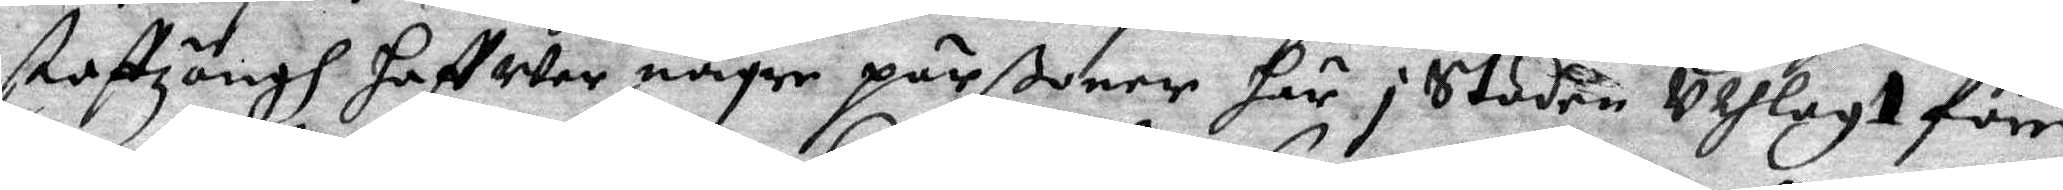staffzängh Haffwet någre pärßoner Här i Staden Uthlagt förr,
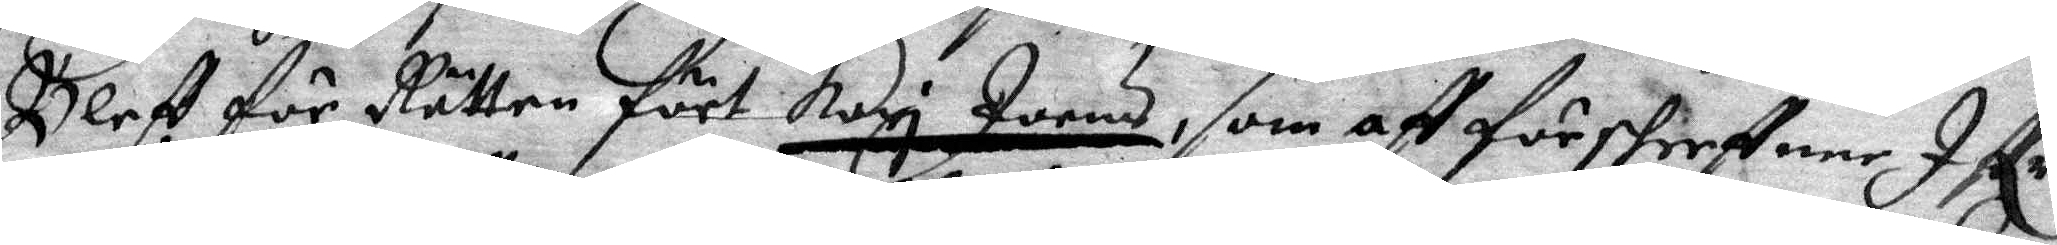Bleff för Rätten fört Kari Joens, som aff förshreffene Iffr
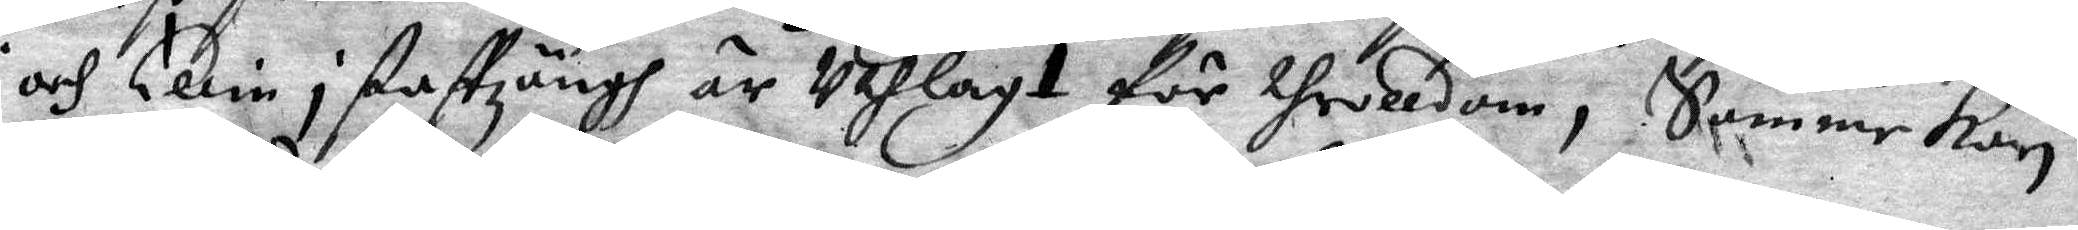och Elin i staffzängh är uthlagt för throlldom, Samme Kari
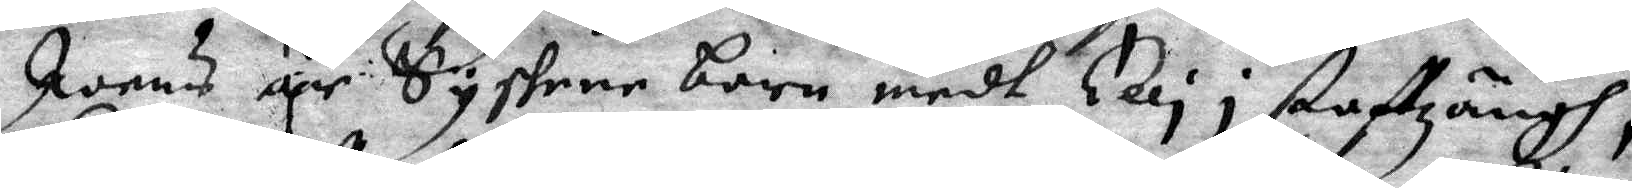Joens är Systrer barn medh Elin i staffzängh,
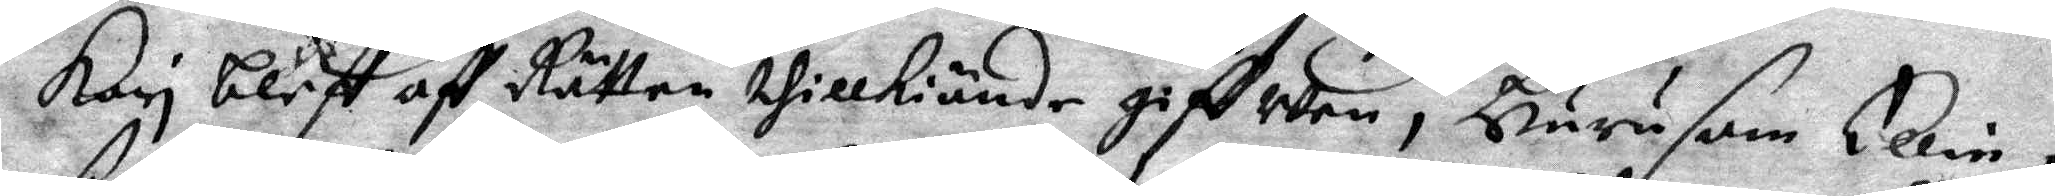Kari bleff aff Rätten thillkiände giffwen, Hurusom Ellin i
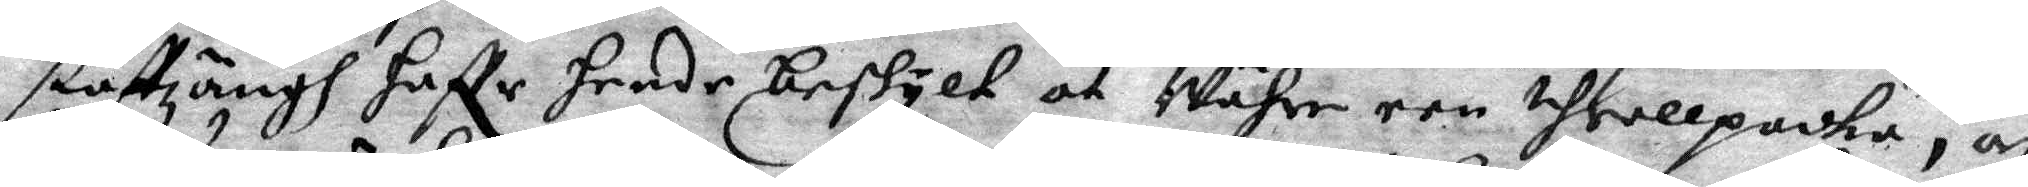staffzängh haffr Hende beskylt at Währe een throllpacka, af
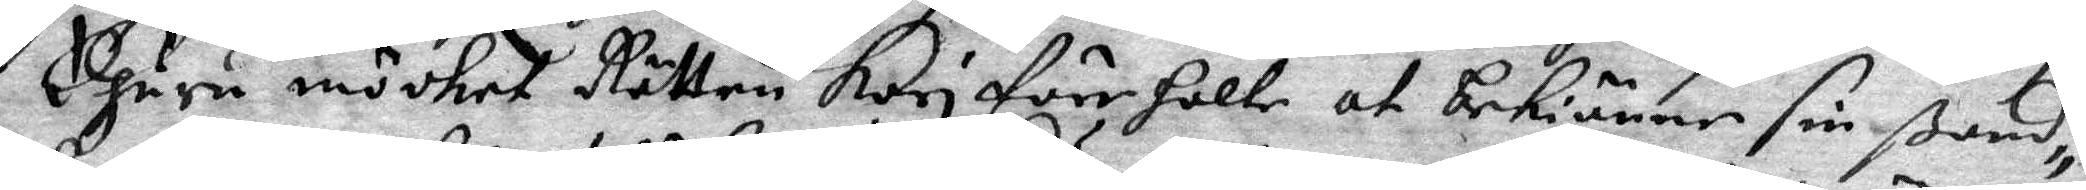Ehuru mödhet Rätten Kari föreholte at bekiänne sin ßand¬
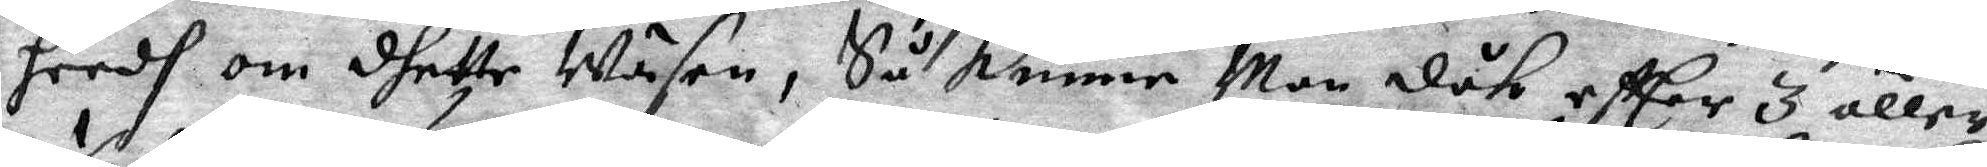heedh om dhette Wäsen, Så kunne Man dåk eftter 3 eller
